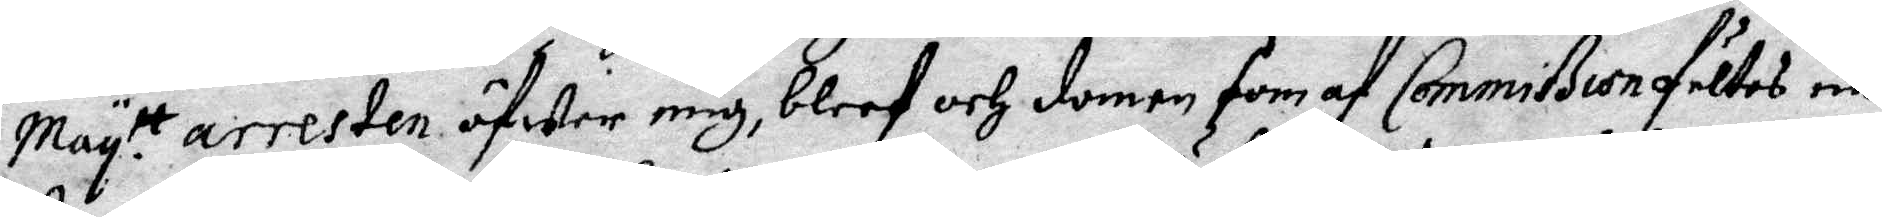May:tt arresten öfwer mig, bleef och domen som af Commißion fältes nä¬
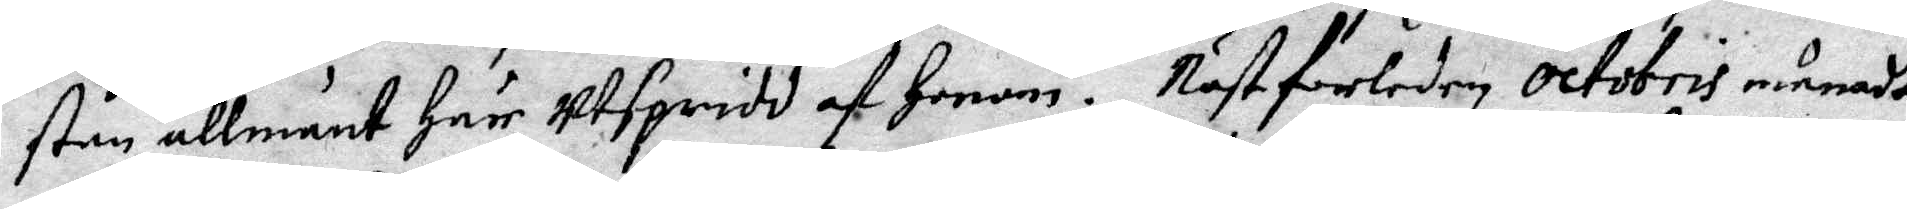stan allmänt här Utspridd af honom. Näst förleden octobris månadt
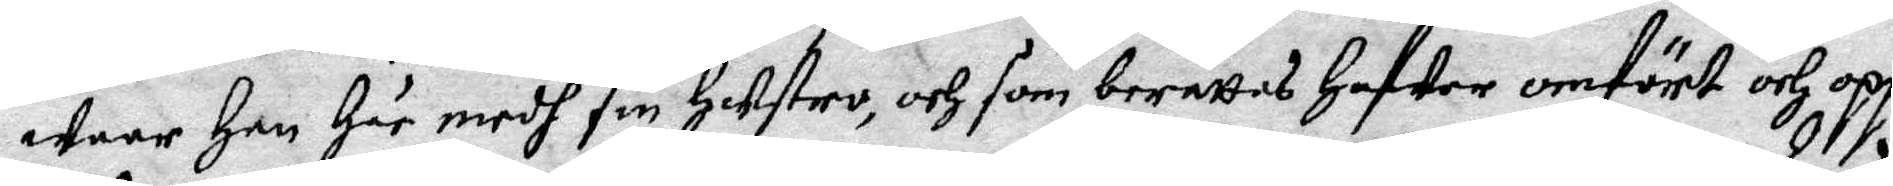waar Han Här medh sin Hustro, och som berättas Hafwer omfört och opp¬
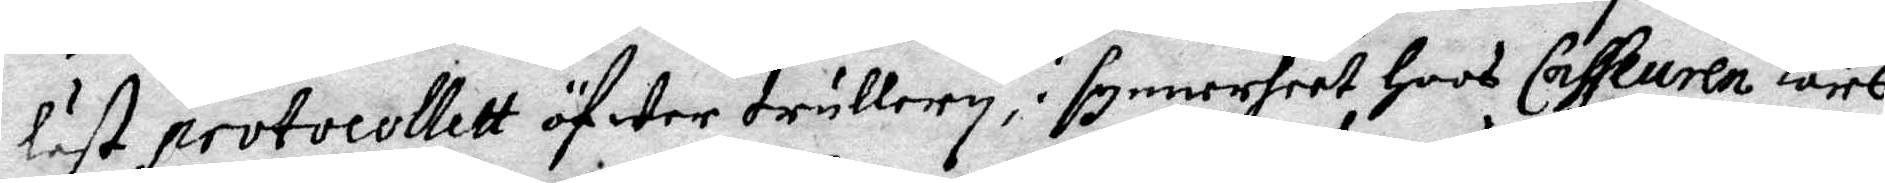läst protocollett öfwer trullery, i synnerheet hoos Casseuren Lars
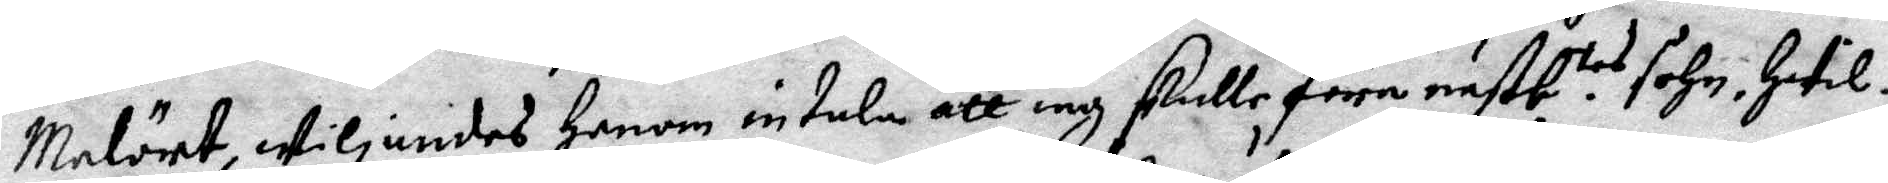Malört, wiljandes Honom intala att iag skulle föra nästb:tes sohn Hwil¬
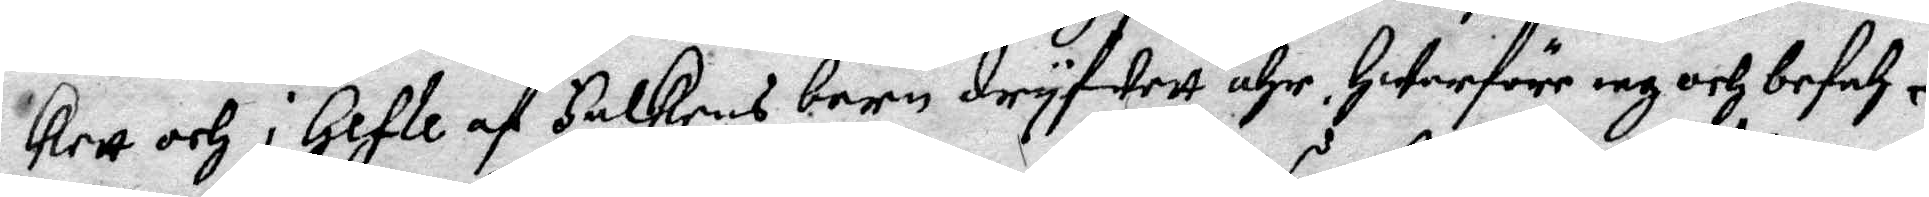kett och i Gefle af Falkens barn dryfwett ähr, Hwarföre iag och befah¬
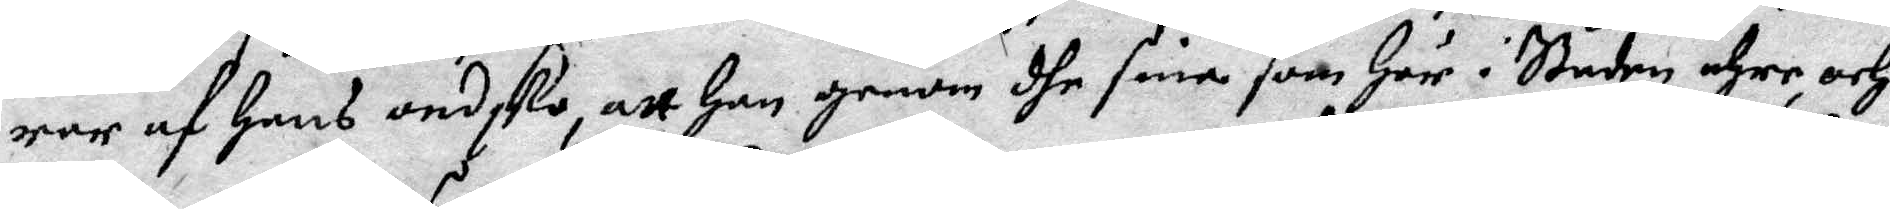rar af Hans ondsko att Han genom dhe sine som Här i staden ähre och
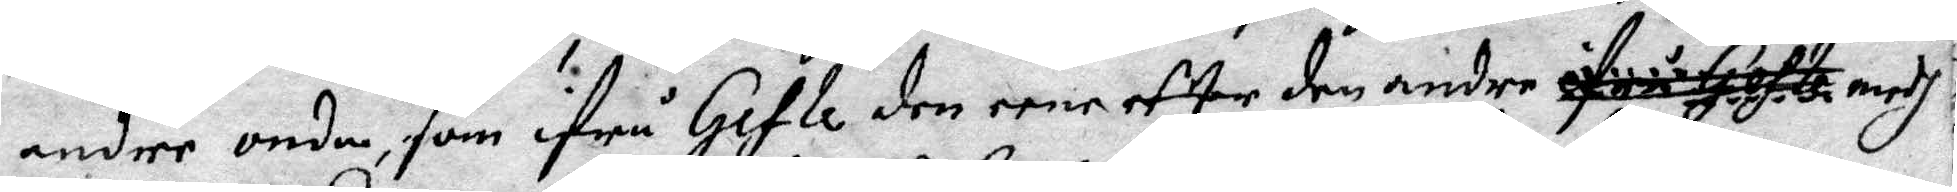andre onda, som ifrå Gefle den eene effter den andre ifrå Gefle medh
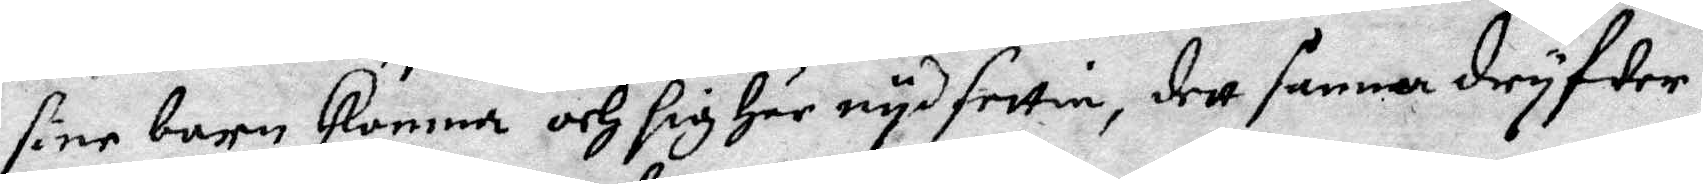sine barn Komma och sig Här nyd settia, dett samma dryfwer.
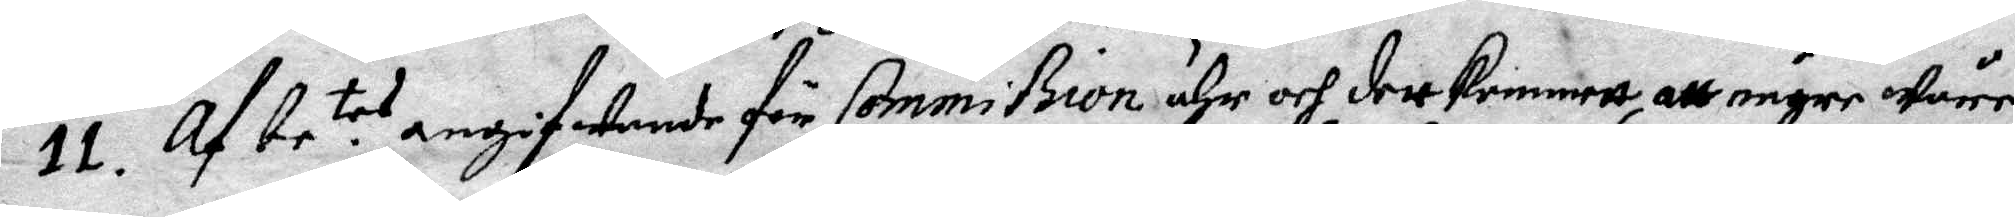11. Af be:te angifwande för Commißion ähr och dett kommett, att någre wåre
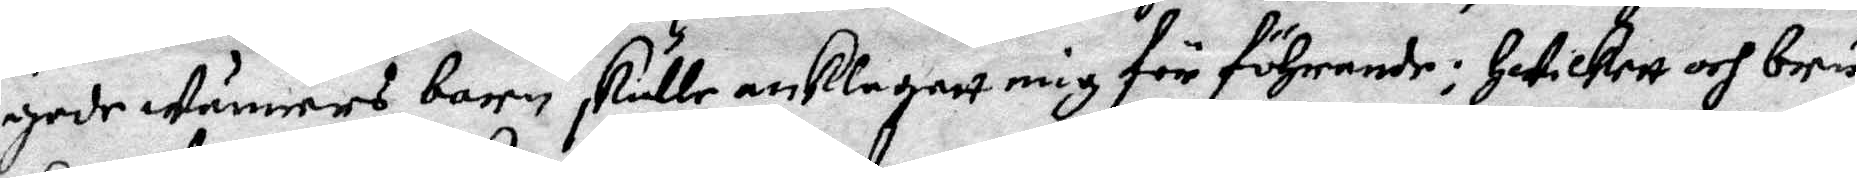gode wänners barn skulle anklagatt mig för föhrande; Hwilkett och bru¬
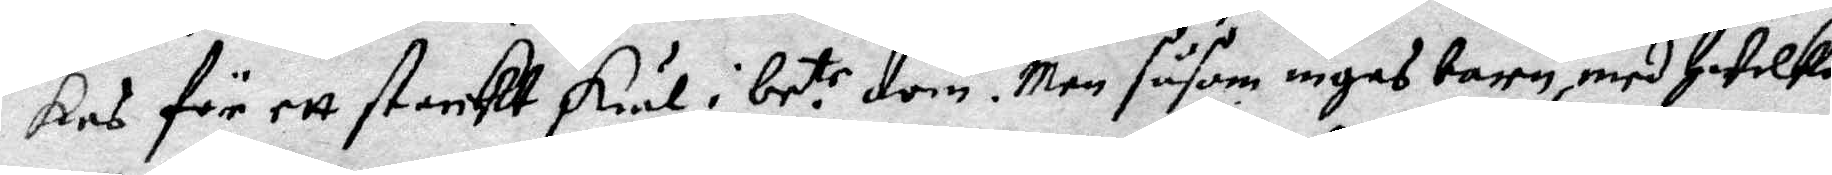kes för ett starckt skiäl i be:te dom. Men såsom ingas barn, med hwilka
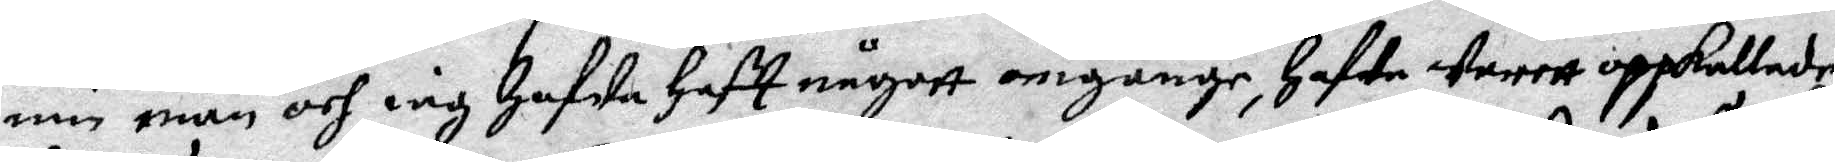min man och iag hafwa haft någott omgänge, hafwa warett uppkallade
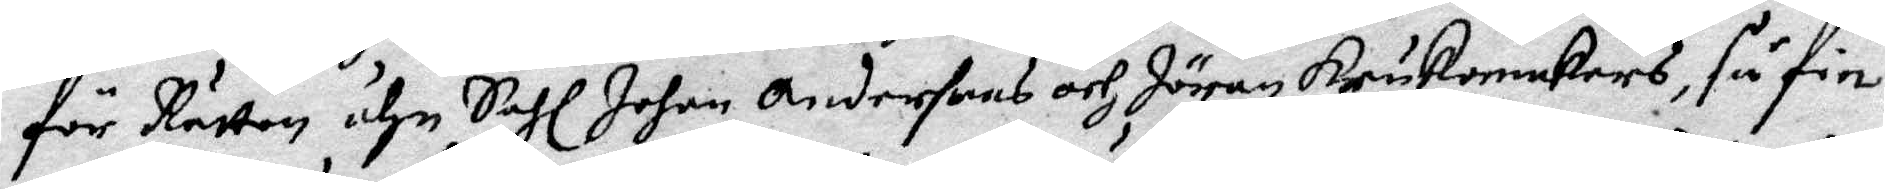för Rätten ähn Sahl Johan Andersons och Jöran Krukomakers, så fin¬
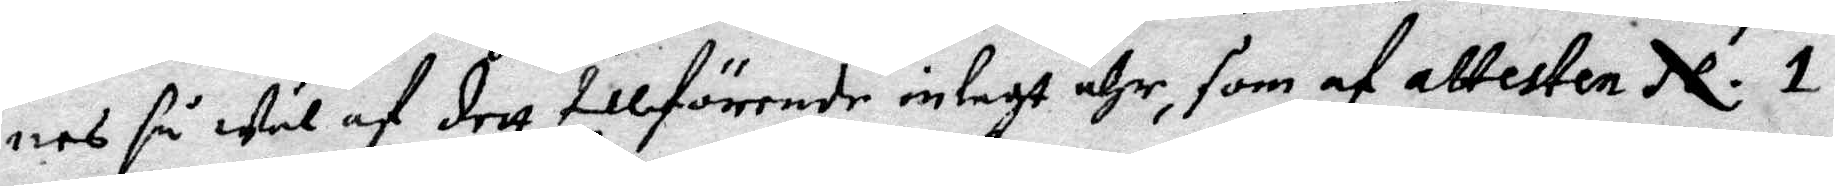nes så wäl af dett tillförende inlagt ähr, som af attesten N. 1.
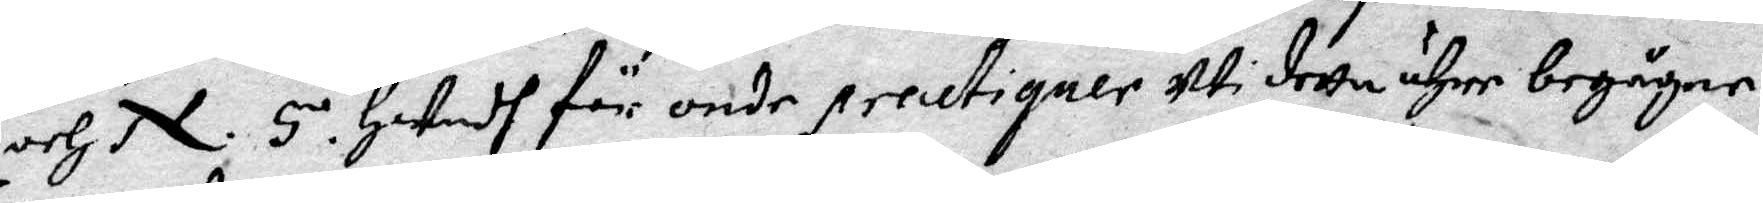och N. 5 Hwadh för onde practiqner uti detta ähre begågne.
